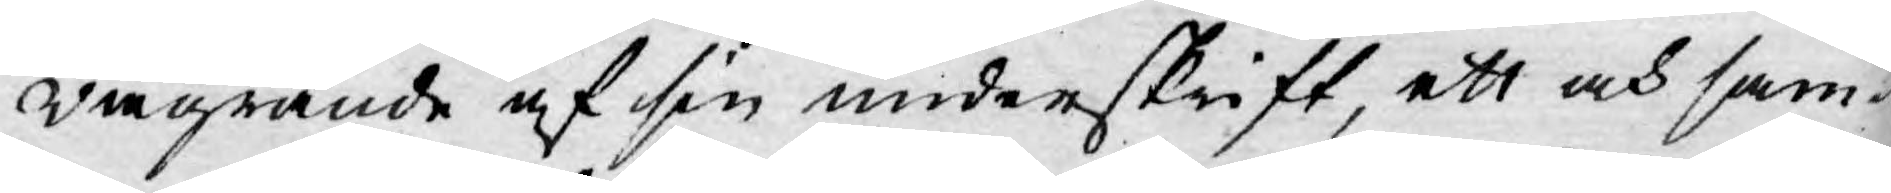wägrande af sin underskrift, ett och sam¬
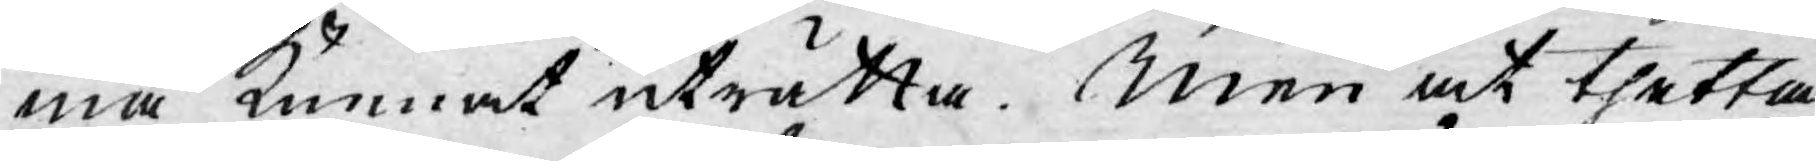ma kunnat uträtta. Men at thetta
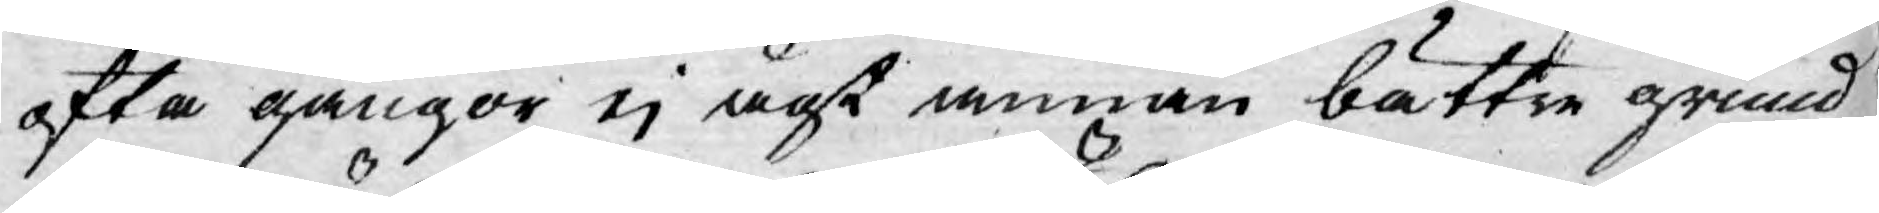ofta gångor ej ägt annan bättre grund
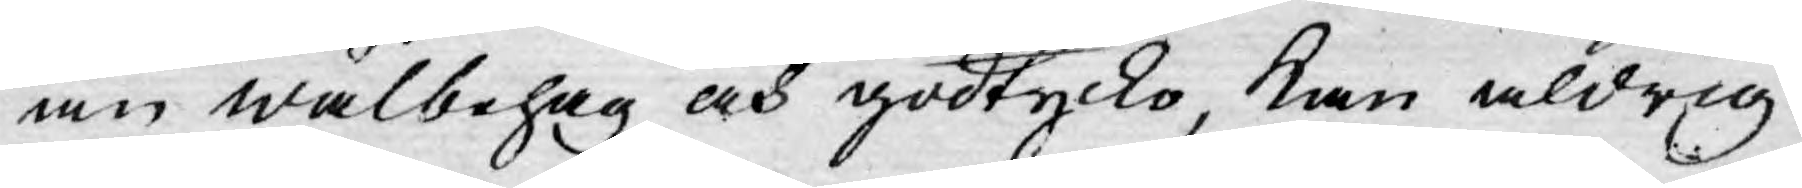än wälbehag och godtycko, kan aldrig
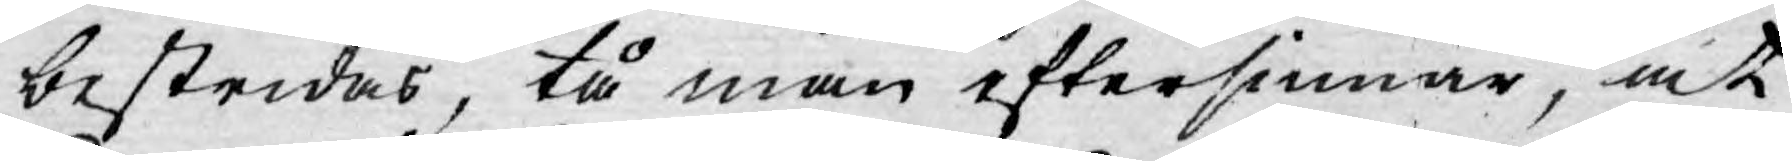bestridas, tå man eftersinnar, at
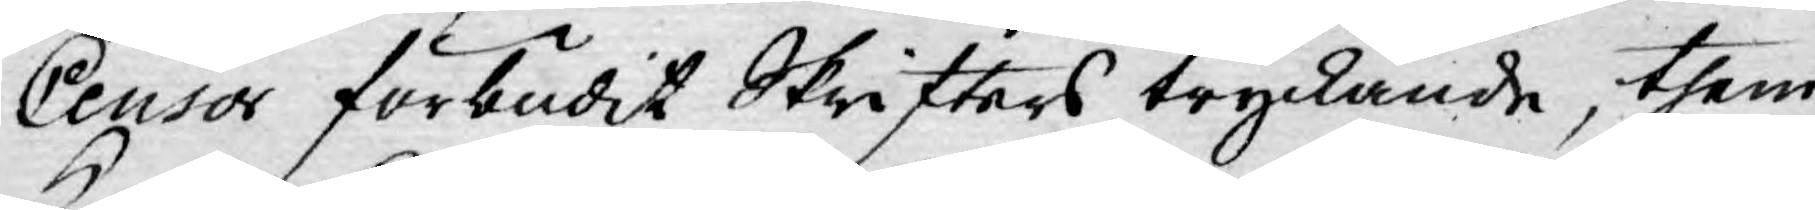Censor förbudit Skrifters tryckande, them
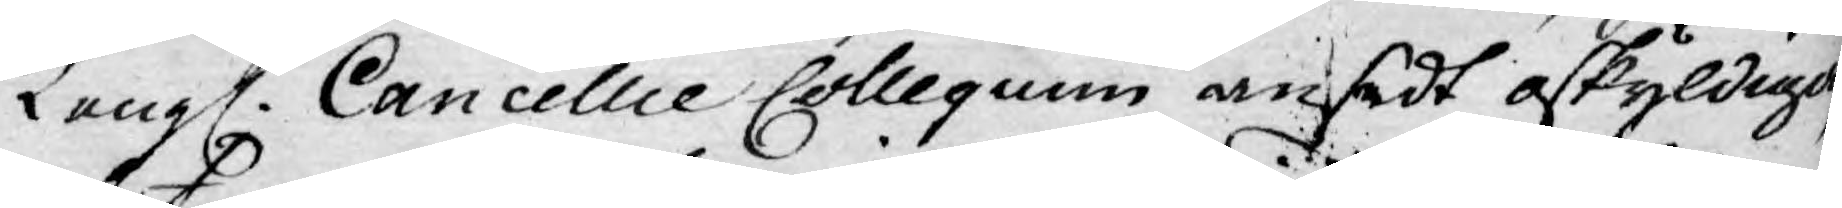Kongl. Cancellie Collegium ansedt oskyldige,
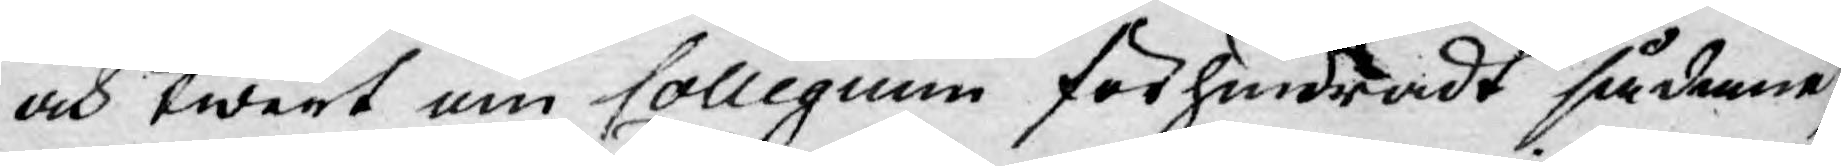och twert om Collegium förhindradt sådanne,
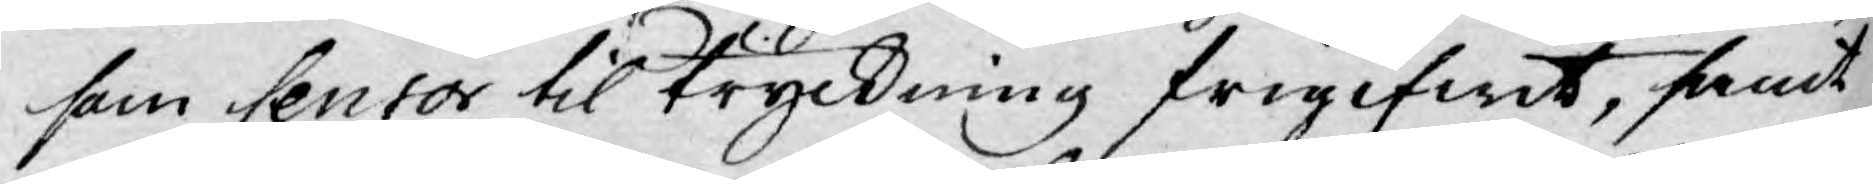som Censor til tryckning frigifwit, samt
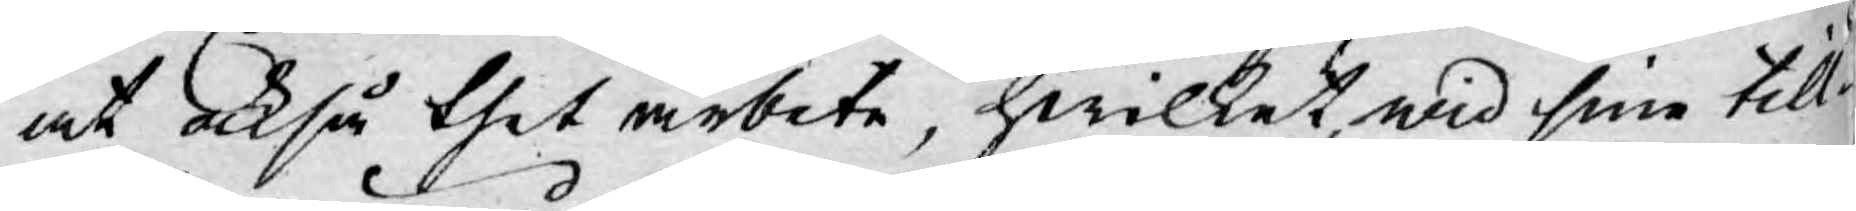at också thet arbete, hwilket wid sine till¬
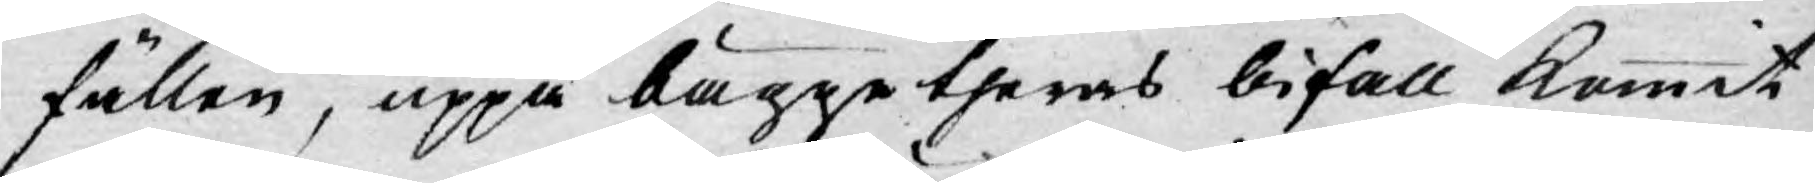fällen, uppå bägge theras bifall kommit
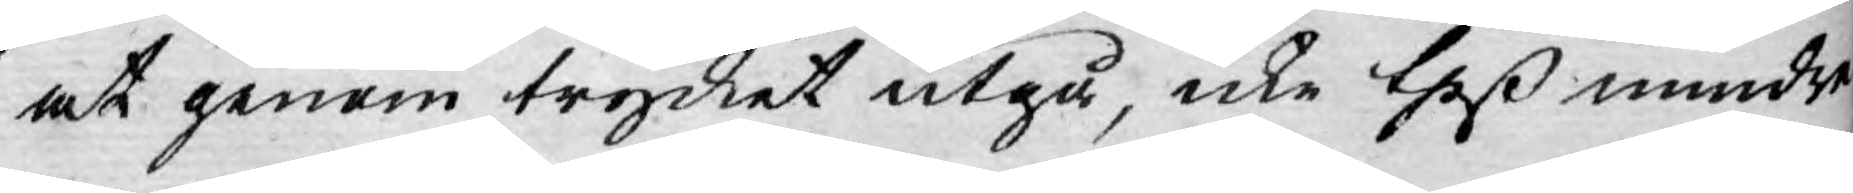at genom trycket utgå, icke theß mindre
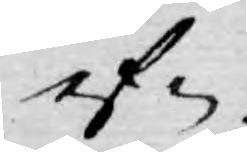ef¬
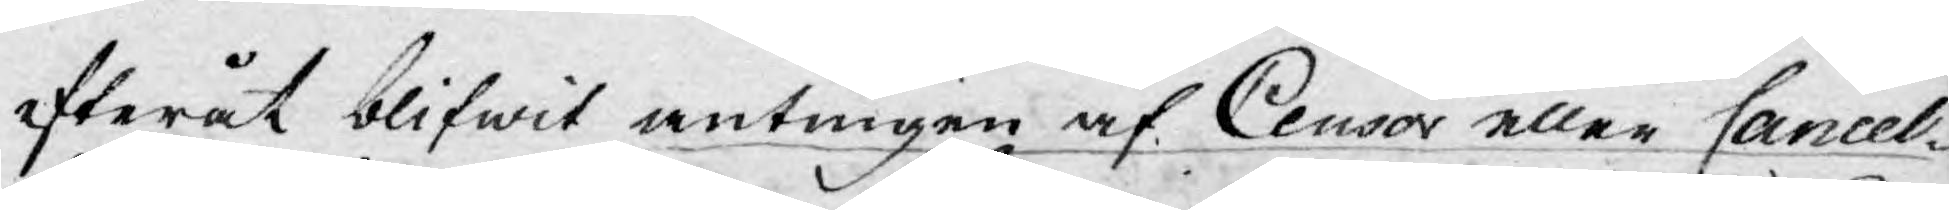efteråt blifwit antingen af Censor eller Cancel¬
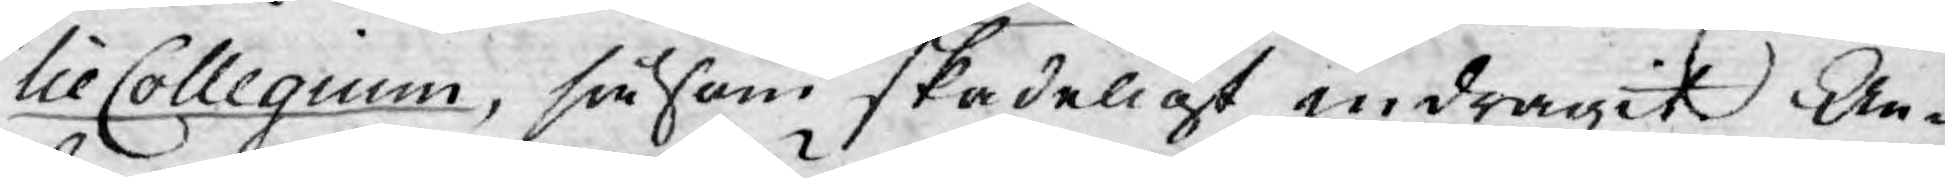lieCollegium, såsom skadeligt indragit.  An¬
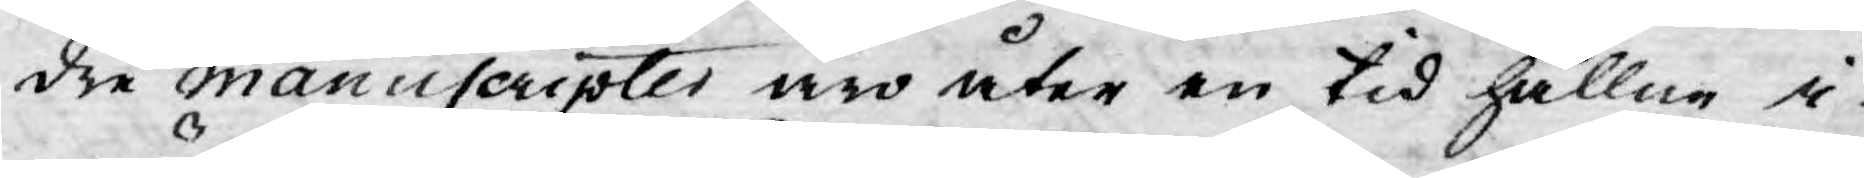dre manuscripter äro åter en tid hållne i
